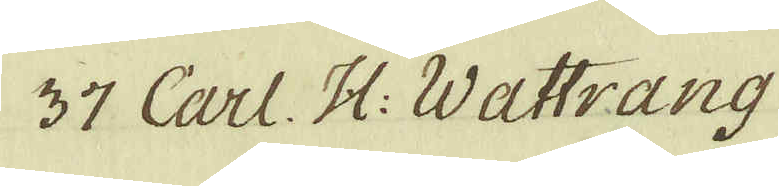37 Carl H: Wattrang
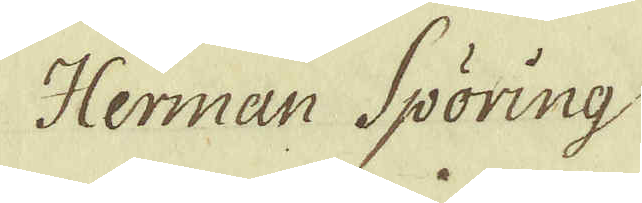Herman Spöring
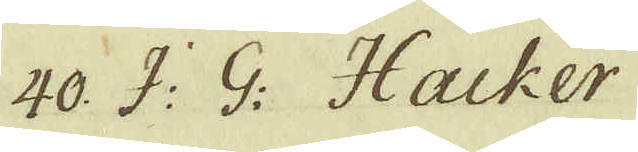40 J: G: Hacker
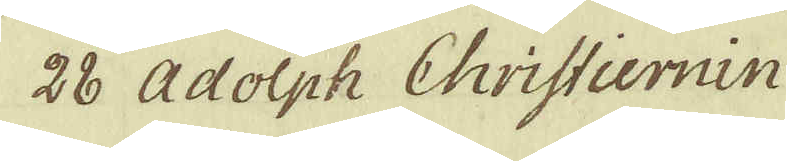28 Adolph Christiernin
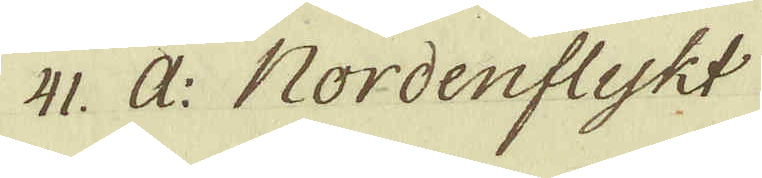41. A: Nordenflykt 
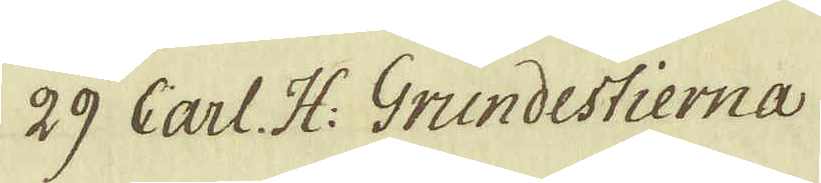28 Carl H: Grundestierna
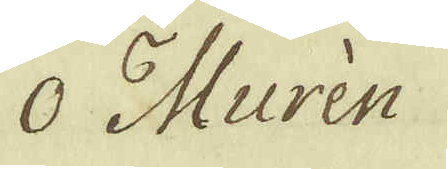O Murén
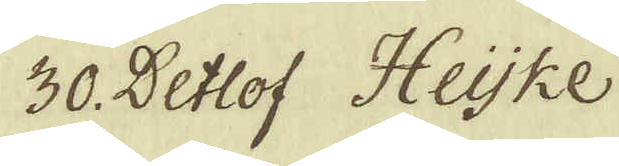30. Detlof Heijke
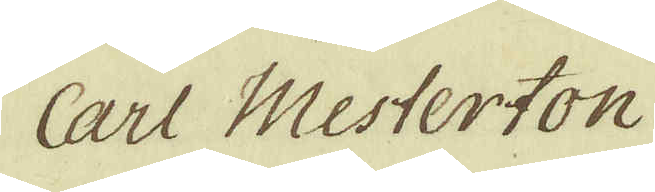Carl Westerton
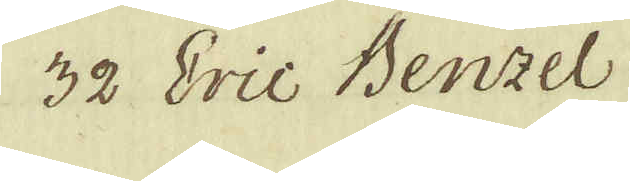32 Eric Benzel
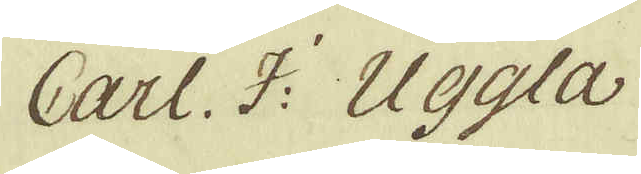Carl. J: Uggla
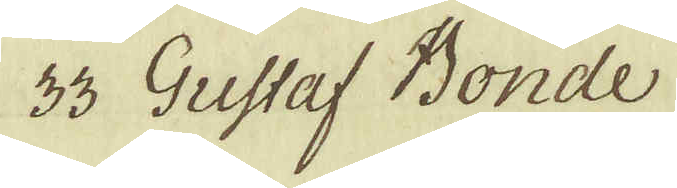33 Gustaf Bonde
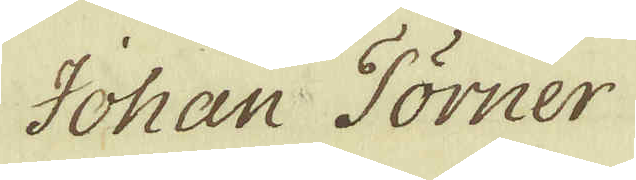Johan Törner
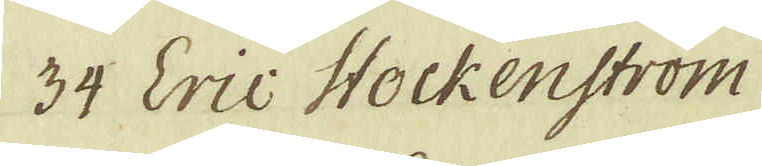34 Eric Stockenström
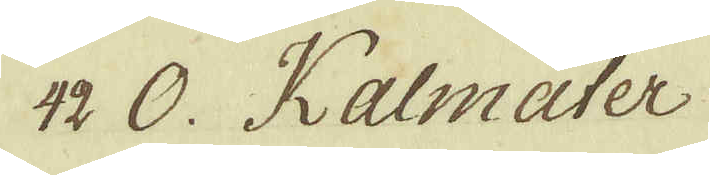42 O. Kalmäter
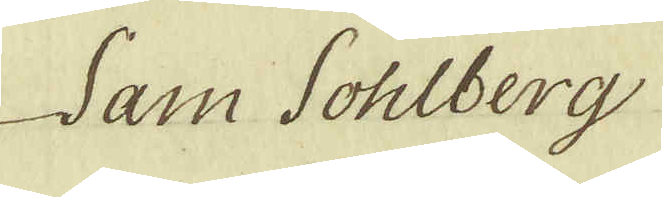Sam Sohlberg
